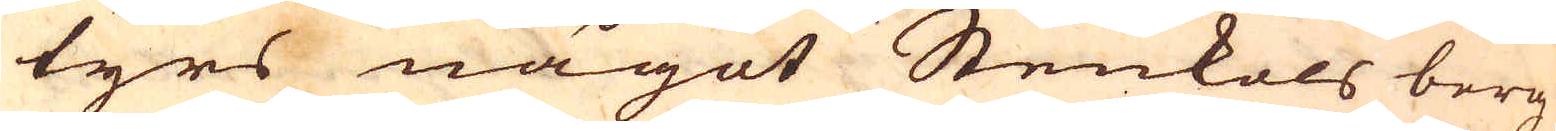tyrs något Stenkols berg
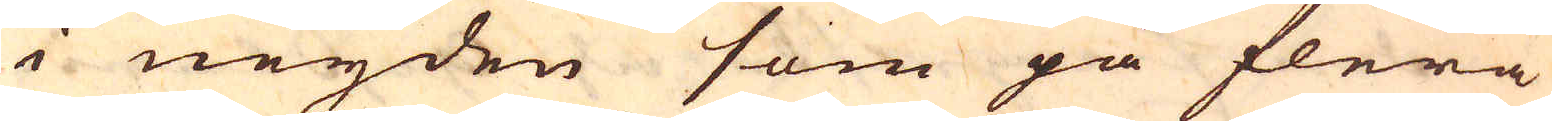i neijden som på flera
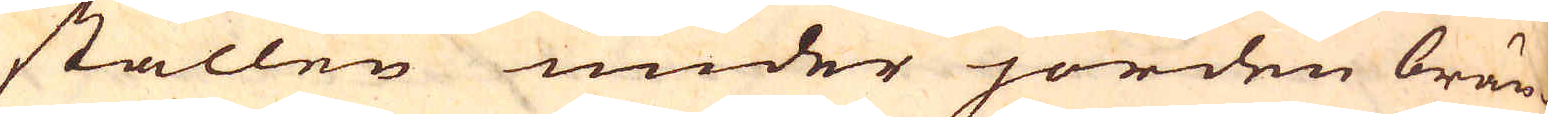ställen under jorden brän-
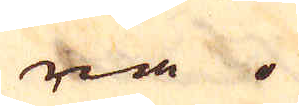ra.
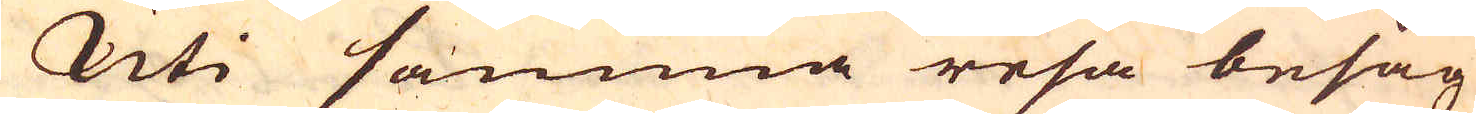Uti samma resa besåg
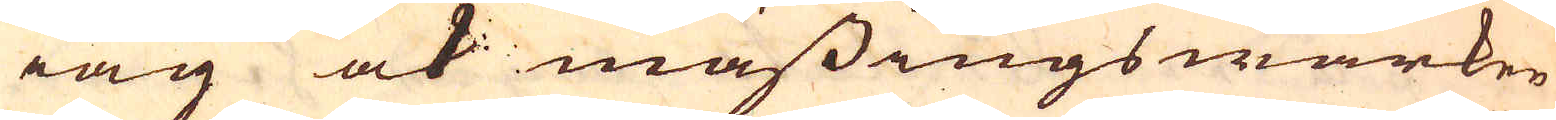iag ock mässingswärken
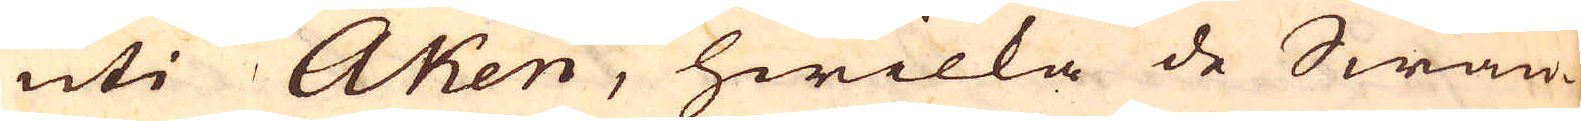uti Aken, hwilka de Swän-
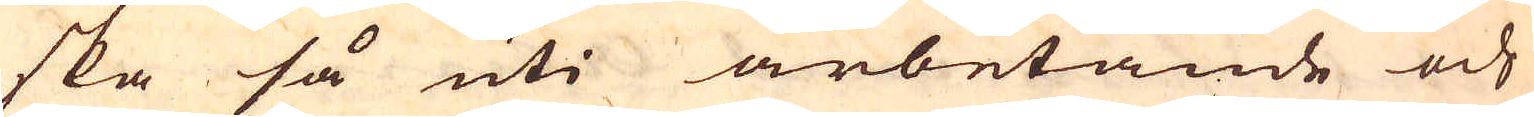ska så uti arbetande och
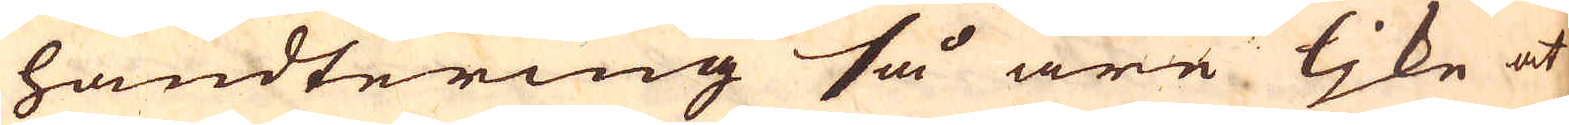handtering så ära ljke at
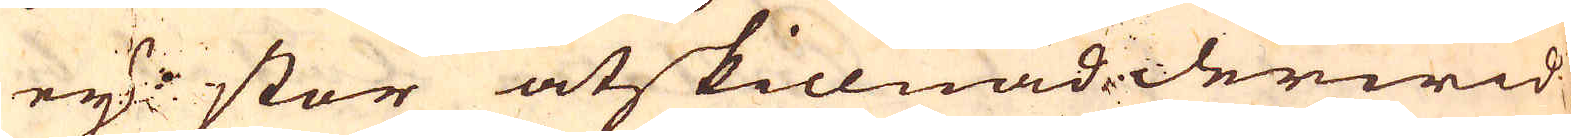eij stor åtskillnad derwid
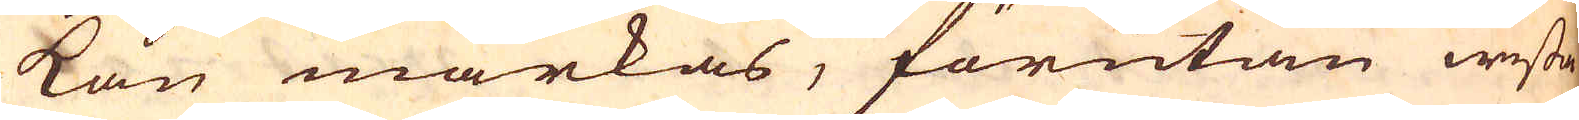kan märkas, förutan wissa
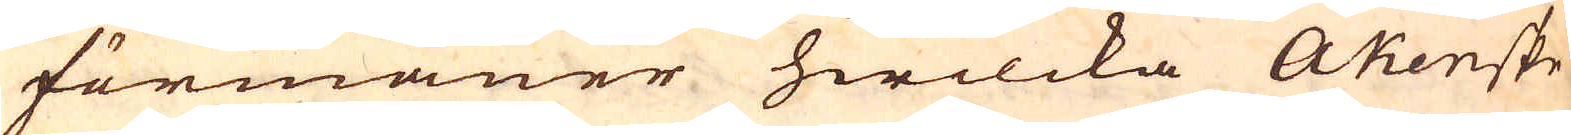förmåner hwilcka Akenske
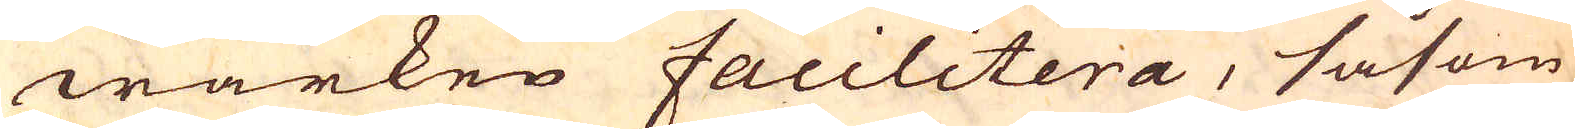wärken Facilitera, såsom
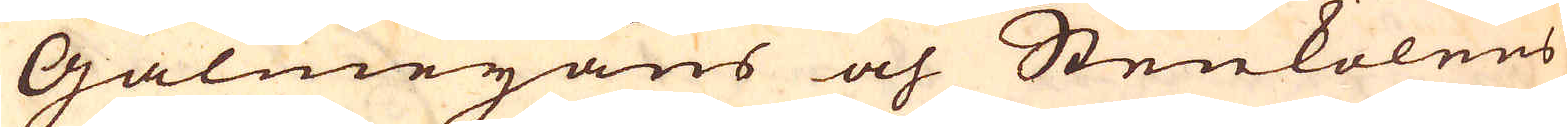Galmeijans och Stenkolens
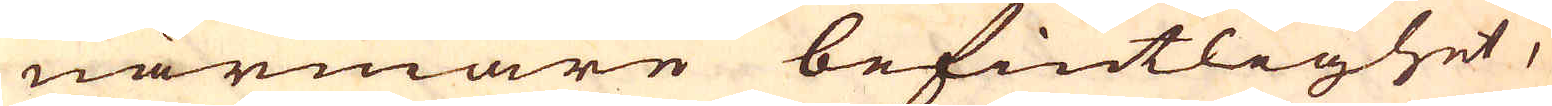närmare befintlighet,
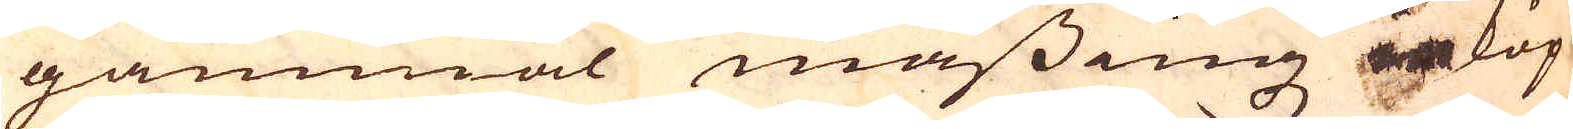gammal mässingz inköp
